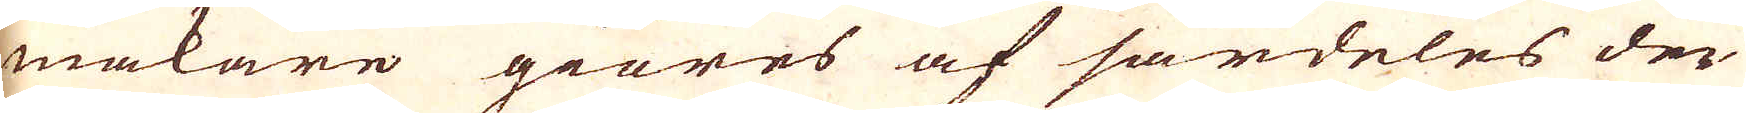makare giöres af särdeles den
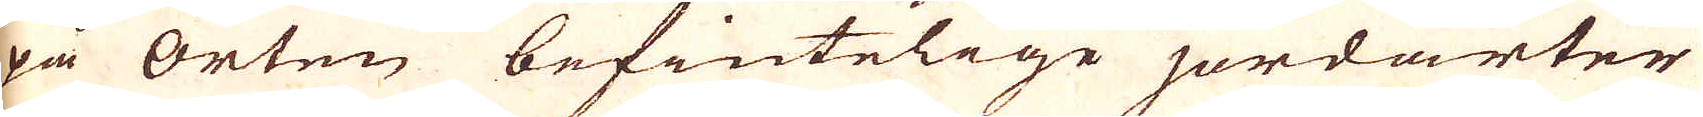på orten befintelige jordarter
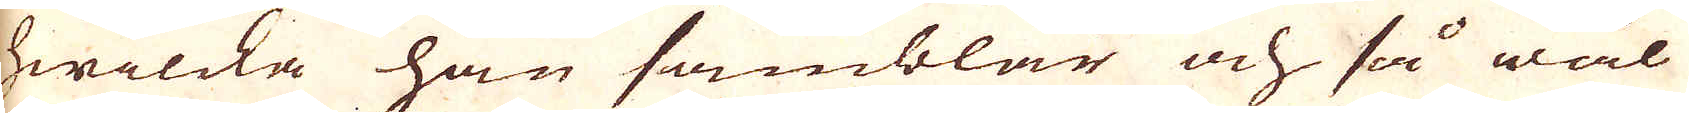hwilcka han samblar och så wäl
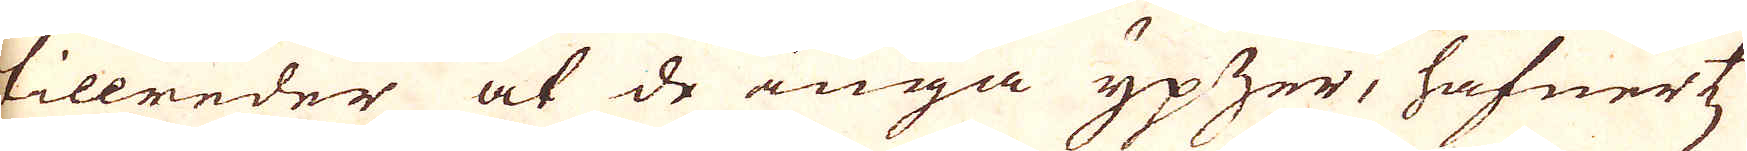tillreder at de inga ypzer, häfwertz
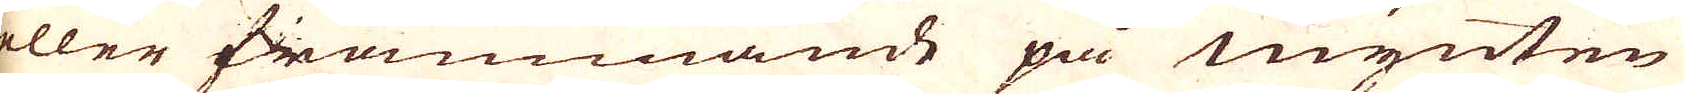eller främmande på mynten
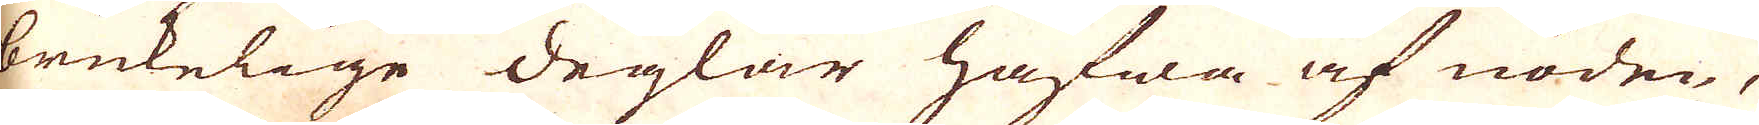brukelige deglar hafwa af nöden,
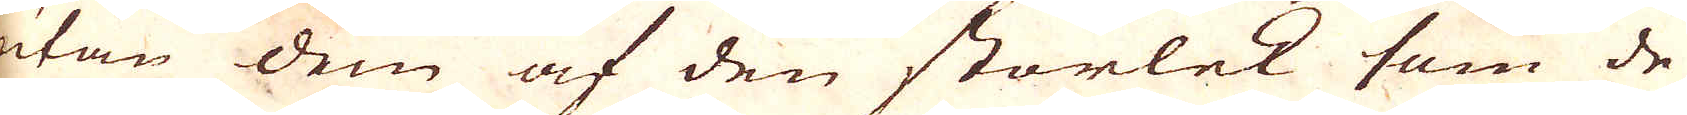utan dem af den storlek som de
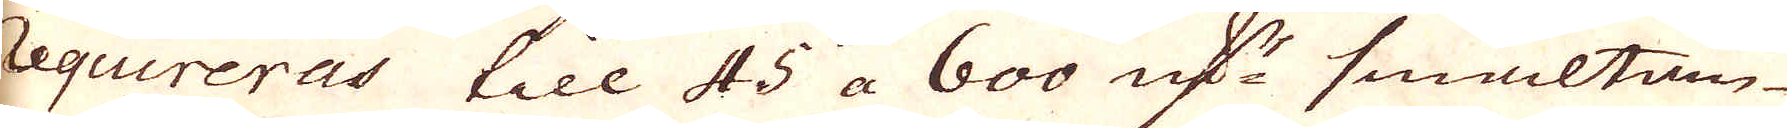requireras till 45 a 600 qv:r smältan-
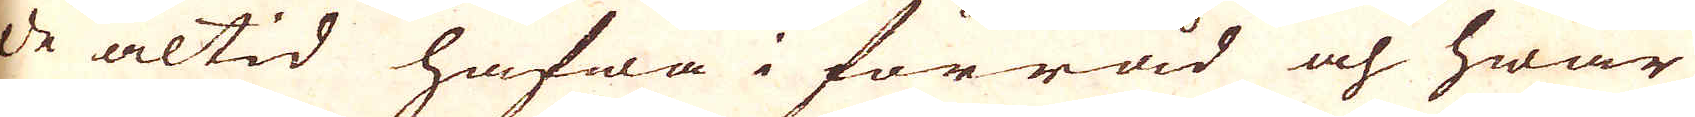de altid hafwa i förråd och hwar
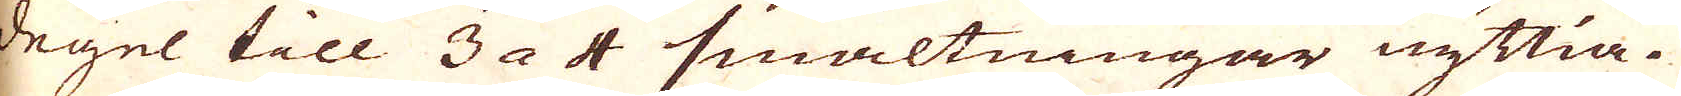degel till 3 a 4 smältningar nyttia.
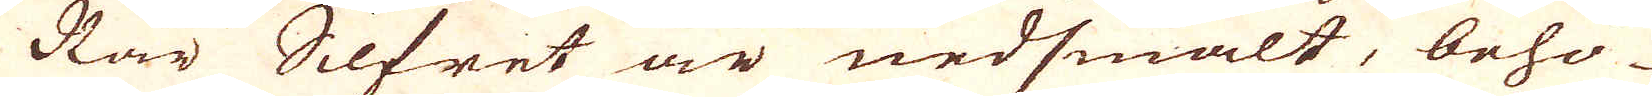När Silfret är nedsmält, behö-
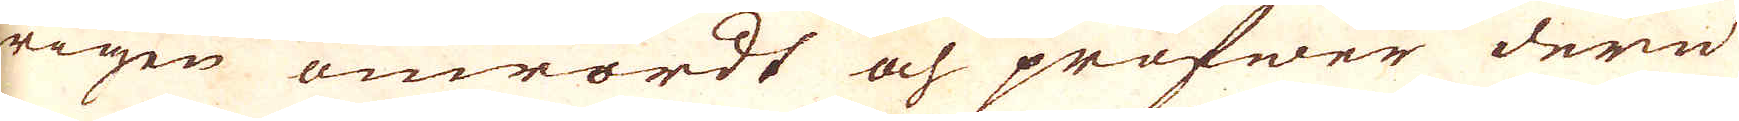rigen omrördt och profwer dere
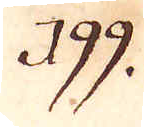199.
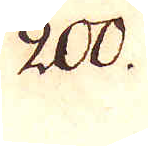200.
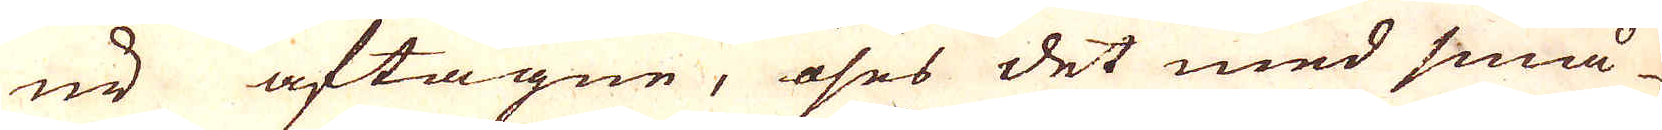nu aftagne, öses det med små
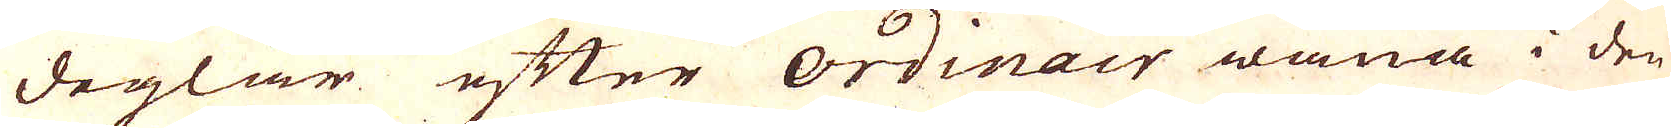deglar efter ordinair wana i den
